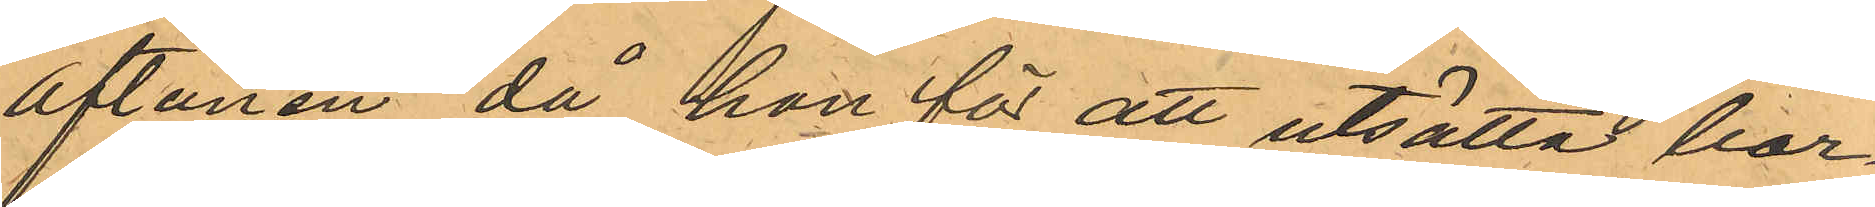aftonen, då hon för att utsätta bar¬
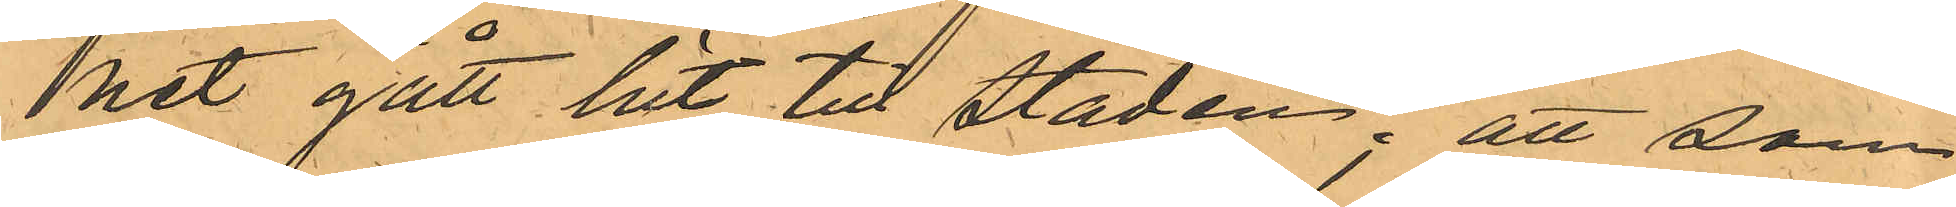het gått hit till Staden; att som
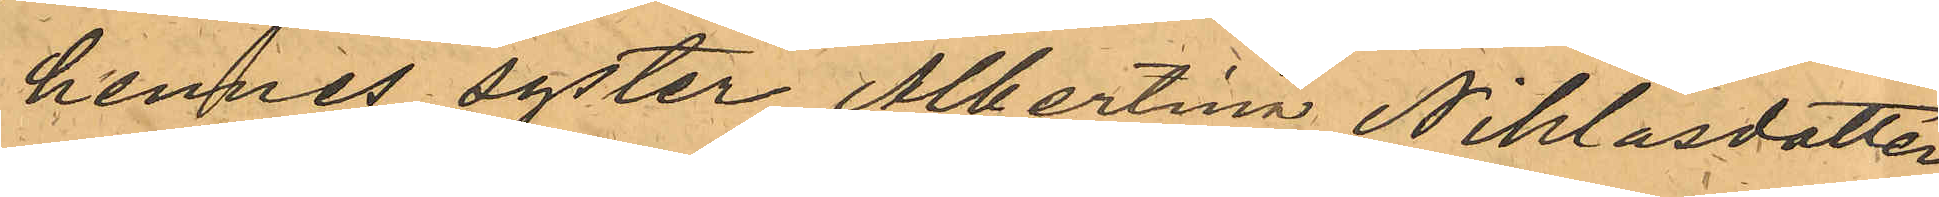hennes syster Albertina Niklasdotter
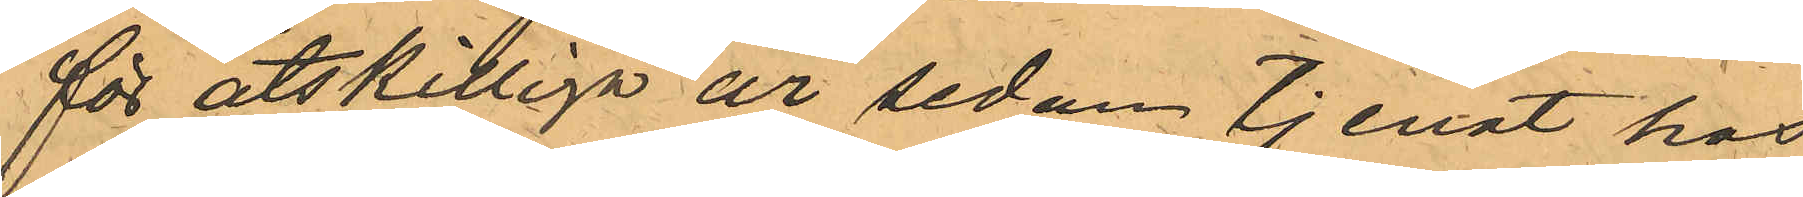för åtskilliga år sedan tjenat hos
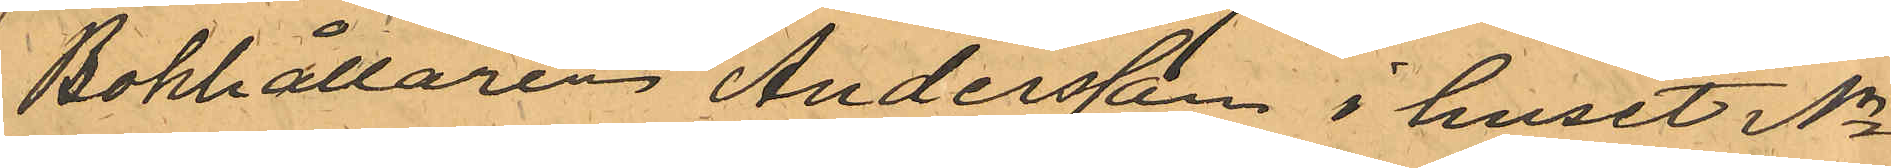Bokhållaren Andersson i huset No
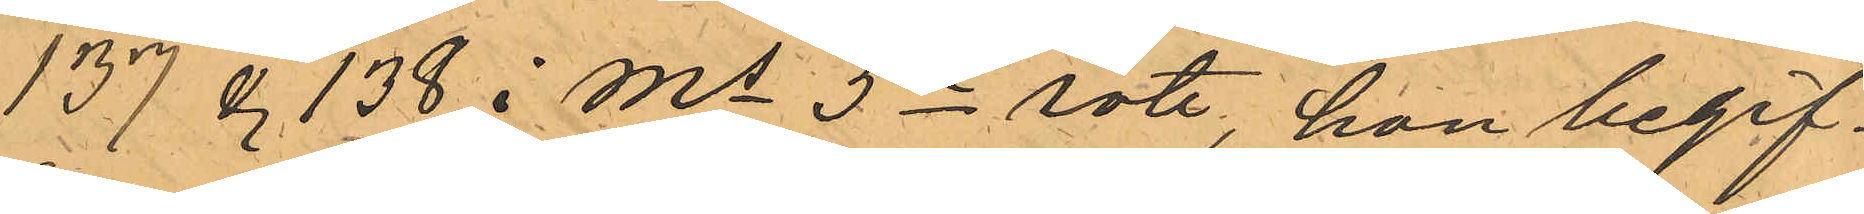137 & 138 i Ms 5te rote, hon begif¬
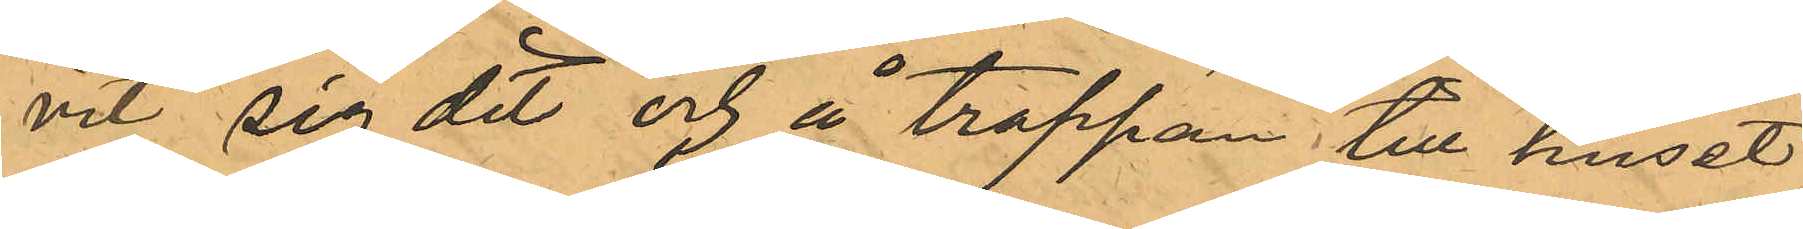vit sig dit och å trappan till huset
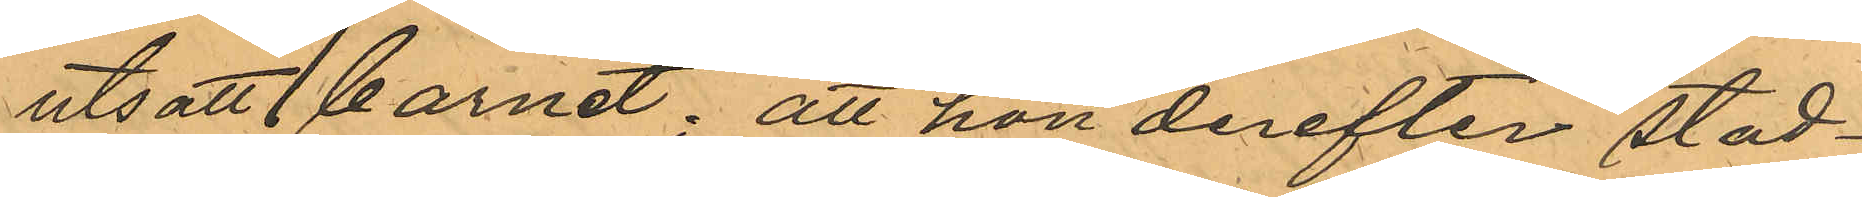utsatt barnet; att hon derefter stad¬
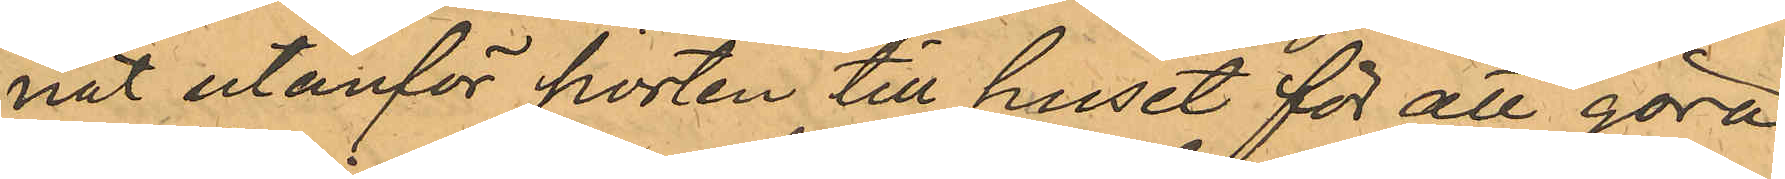nat utanför porten till huset för att göra
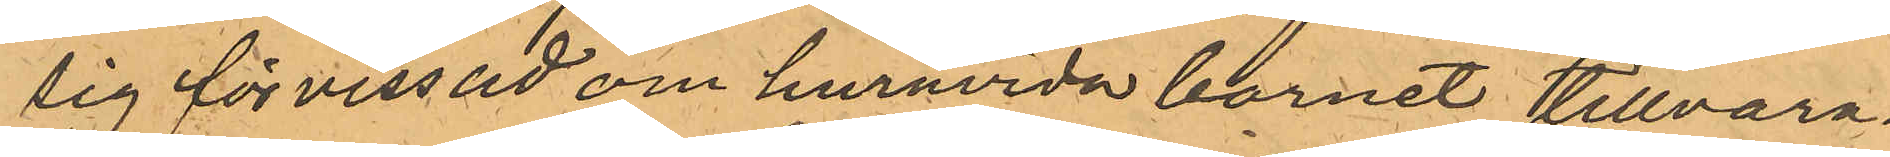sig förvissad om huruvida barnet tillvara¬
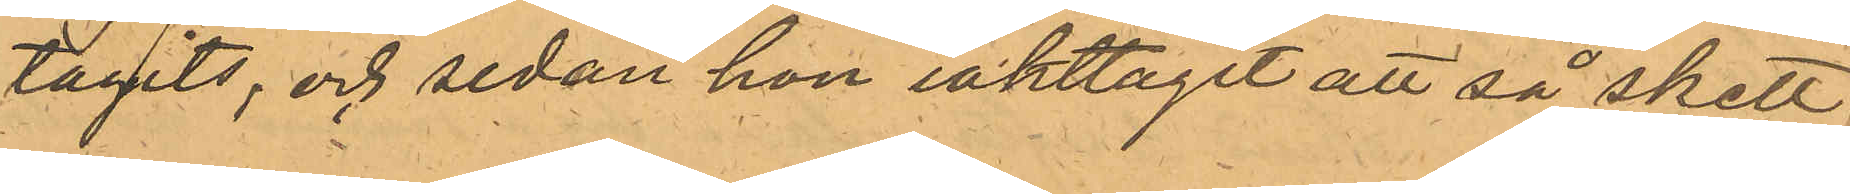tagits; och sedan hon iakttagit att så skett,
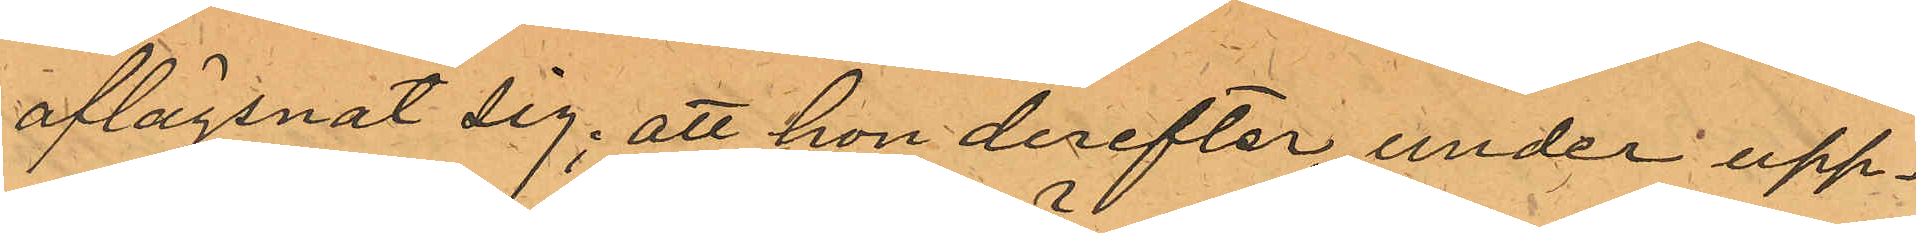aflägsnat sig; att hon derefter, under upp¬
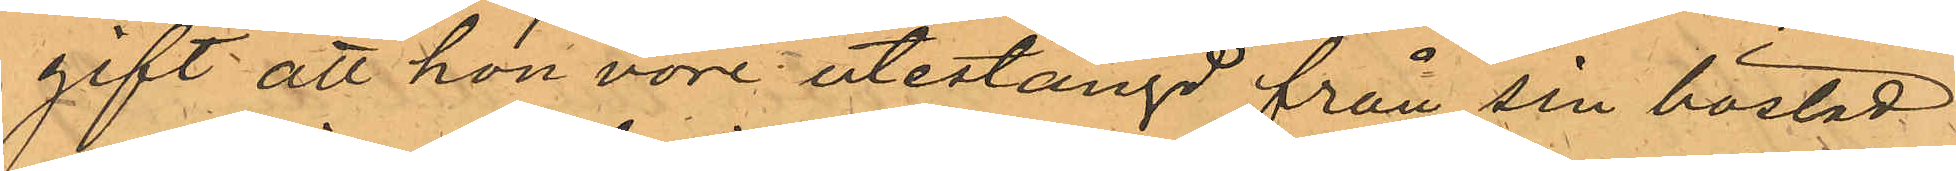gift att hon vore utestängd från sin bostad
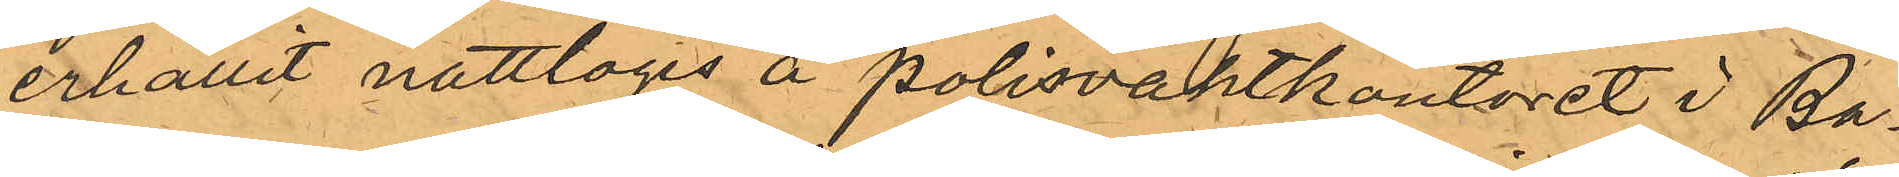erhållit nattlogis å polisvaktkontoret i Ba¬
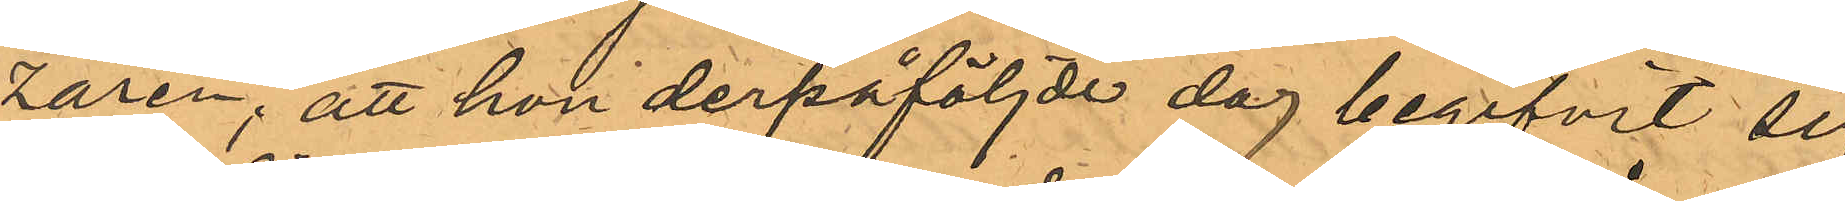zaren; att hon derpåföljde dag begifvit sig
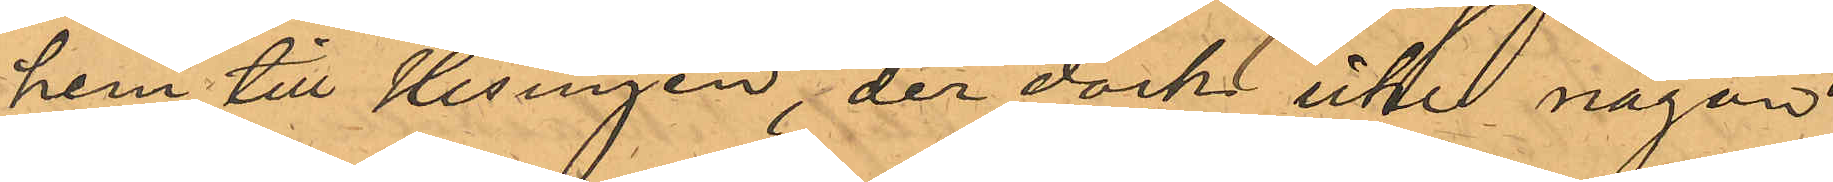hem till Hisingen, der dock icke någon
